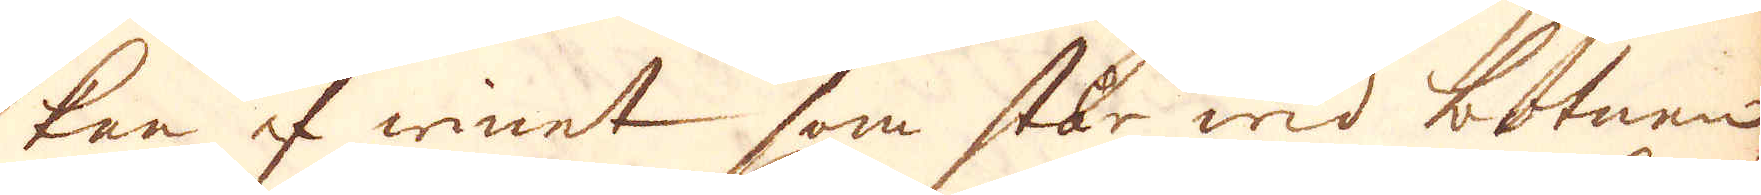kan af winet som står wid botnen
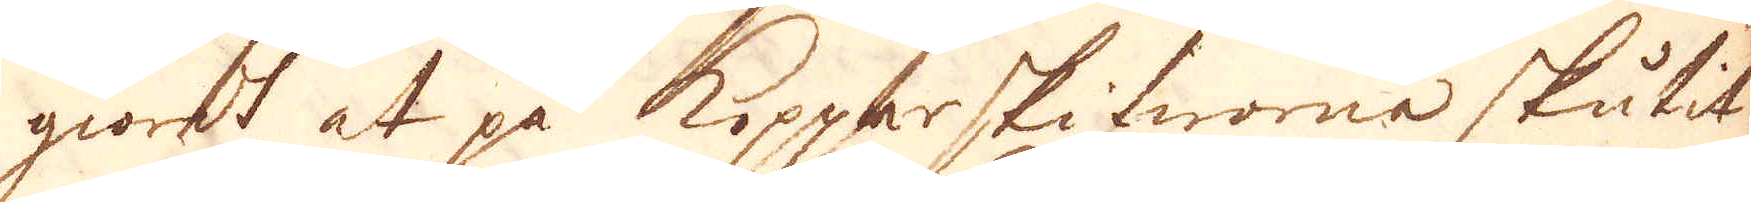giordt at på kopparskifworna skutit
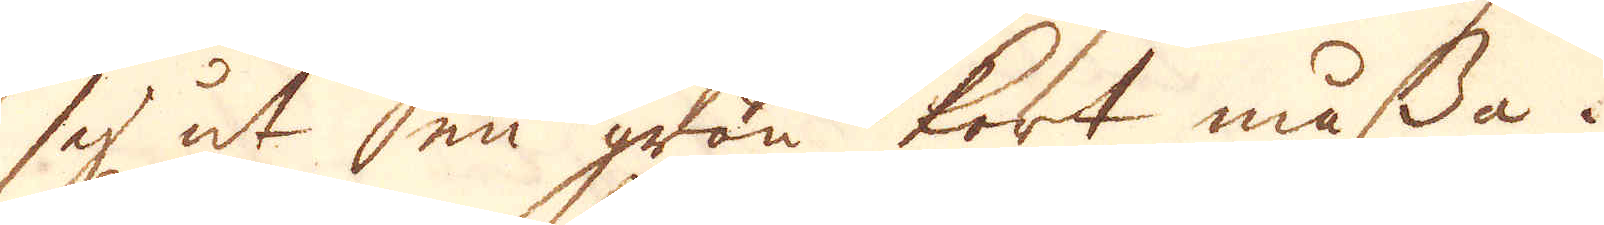sej ut en grön kort måssa.
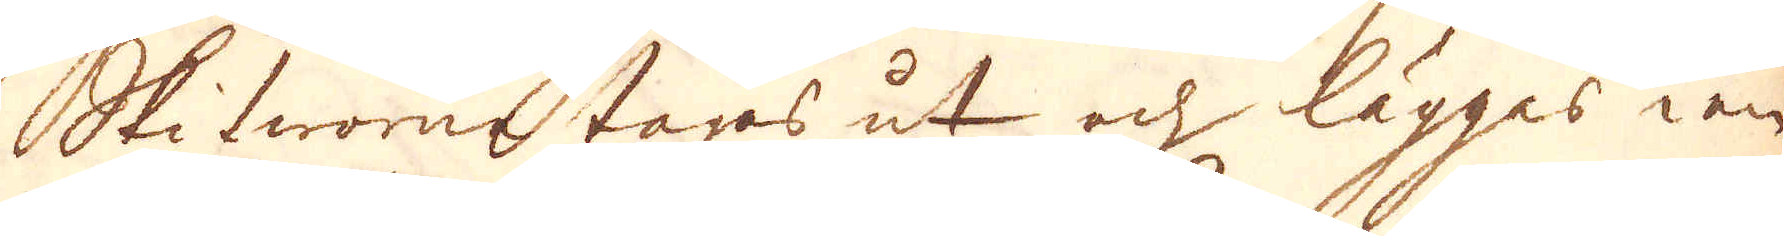Skifworne tages ut och lägges i en
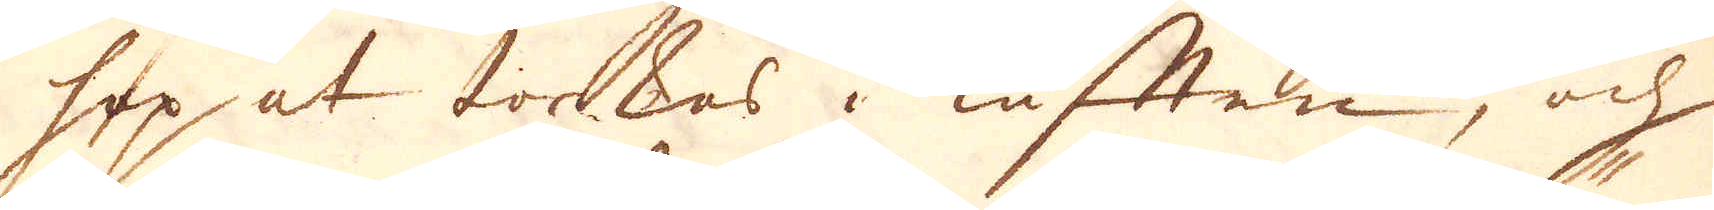hop at torkas i luftten, och
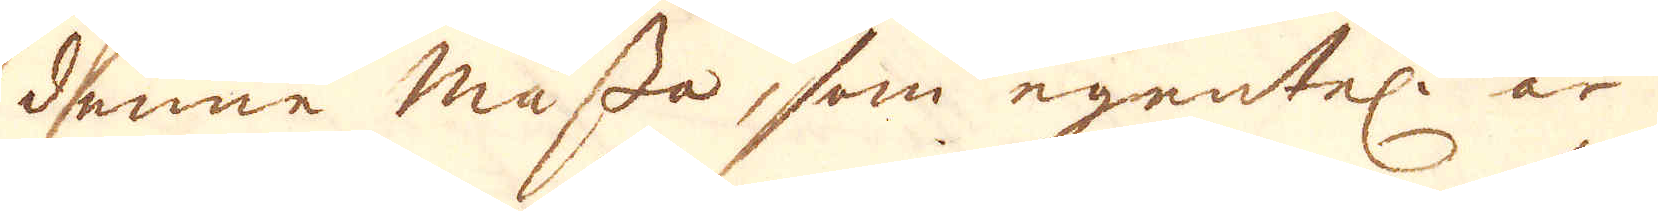denne måste, som egentel: är
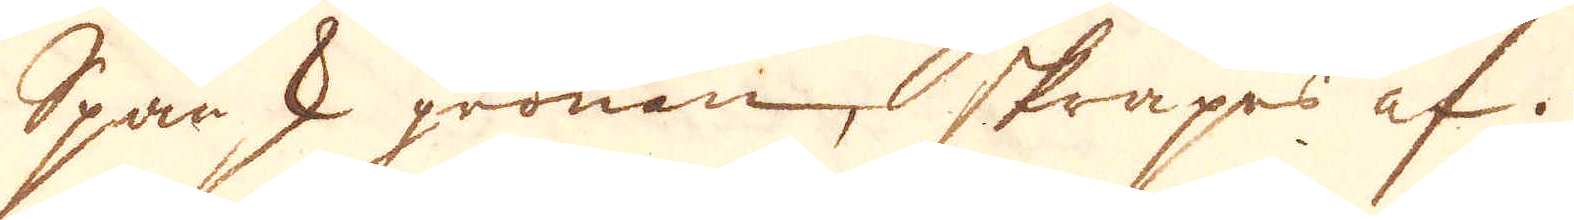spansk grönan skrapes af.
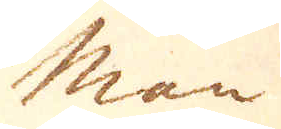Man
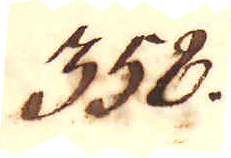358.
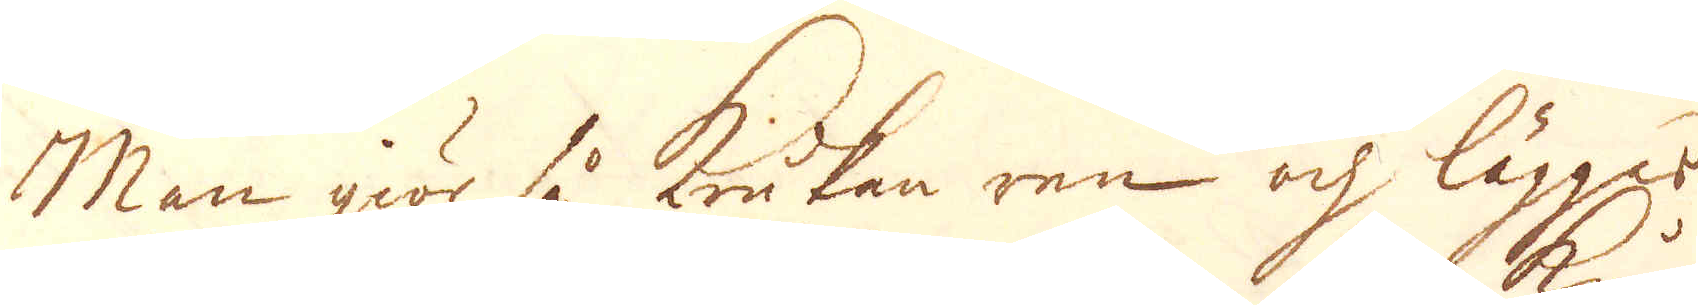Man giör så krukan ren och lägger
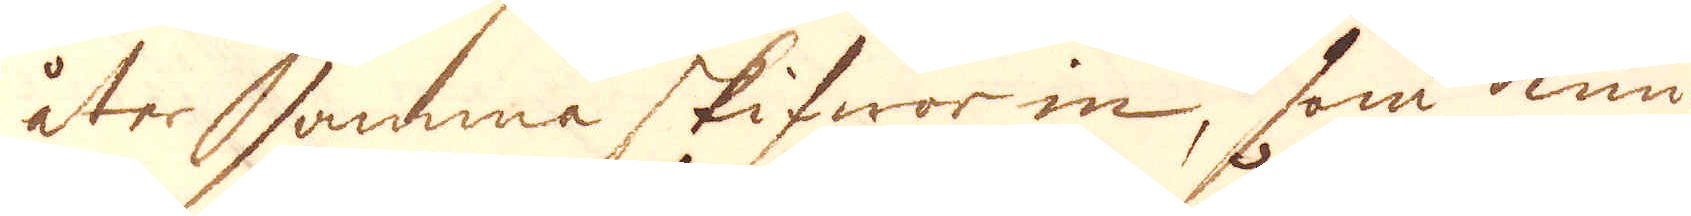åter samma skifwor in, som kun-
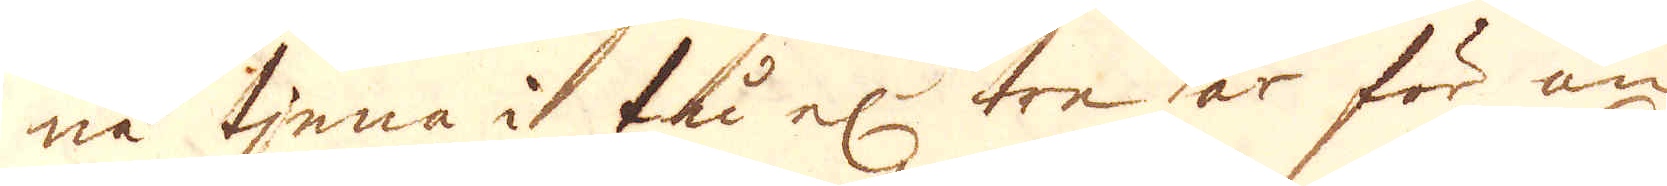na tjena i tu el:r tre år för än
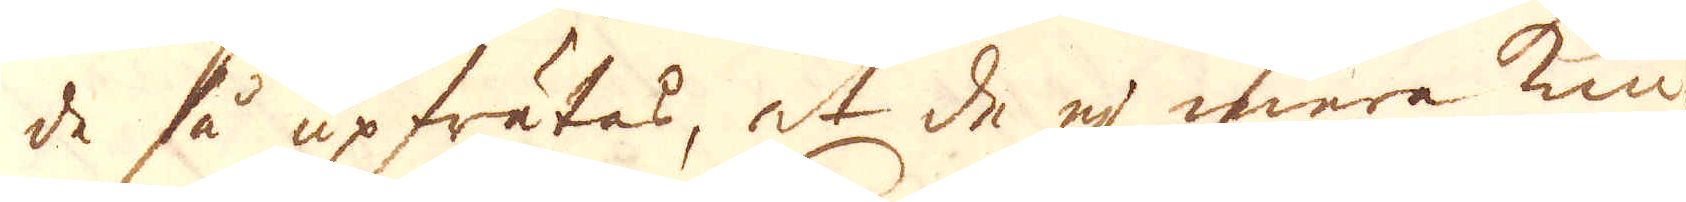de så upfrätas, at de ej mera kun-
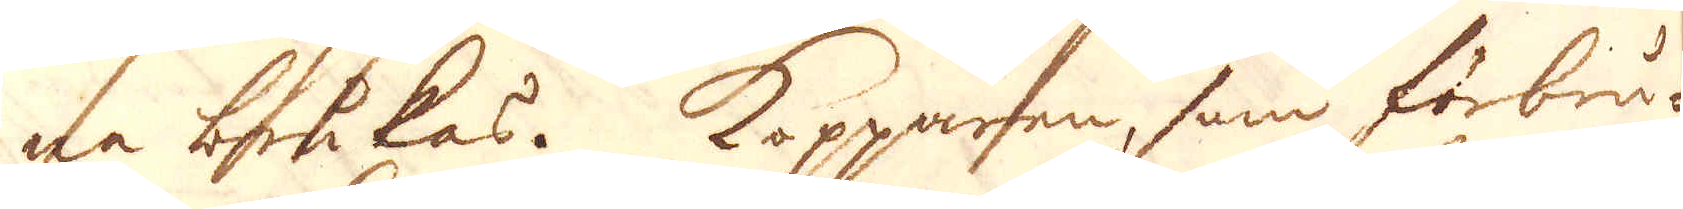na brukas. Kopparen, som förbru-
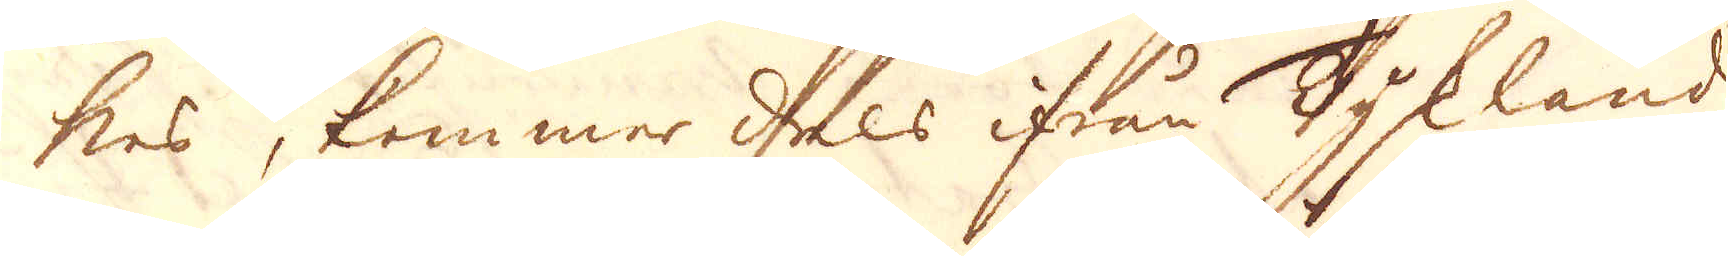kes, kommer dels ifrån Tyskland
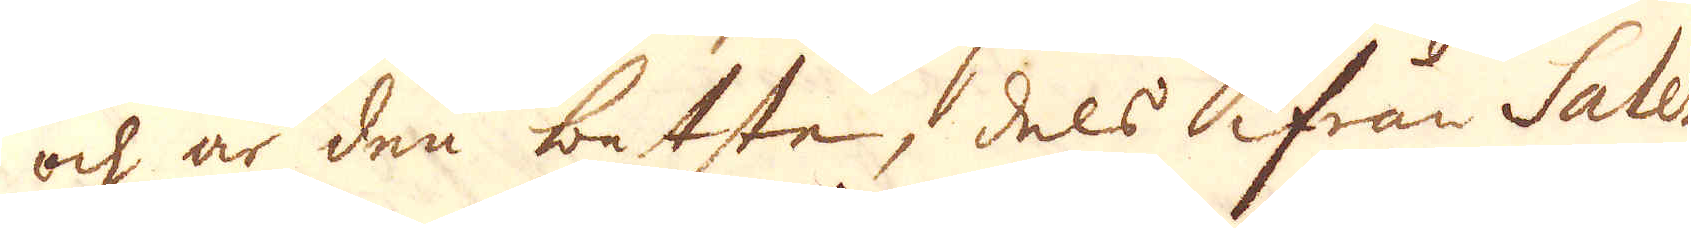och är den betste, dels ifrån Salez
